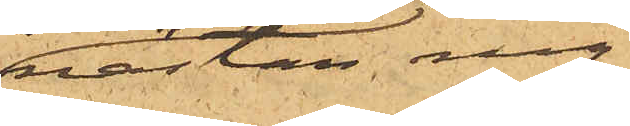nästan ny
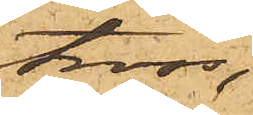tross,
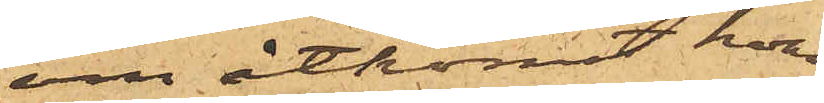om åtkomst hvar¬
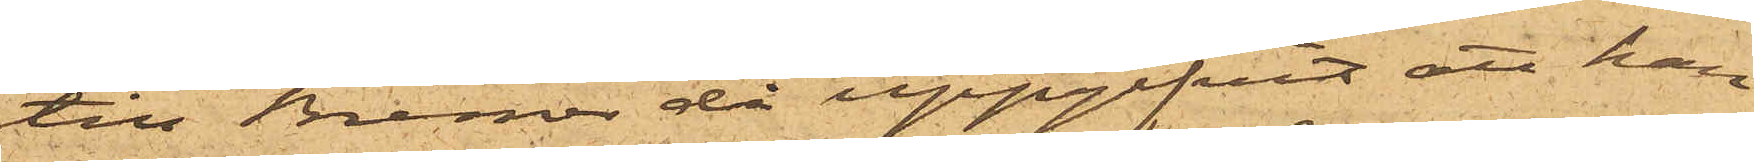till Bremer då uppgifvit att han
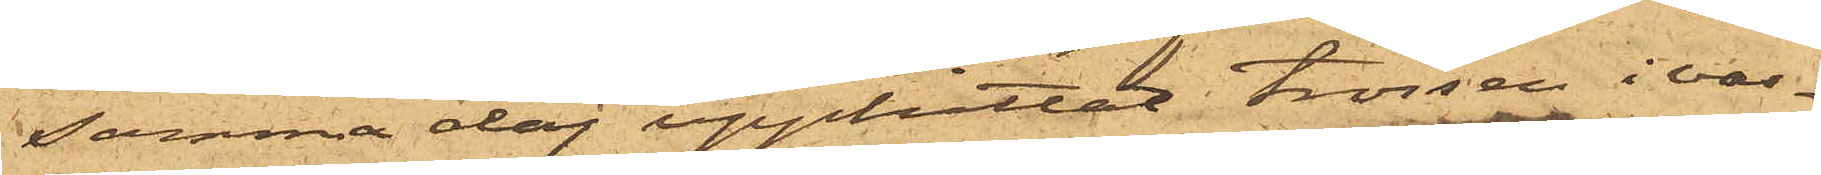samma dag upphittat trossen i vas¬
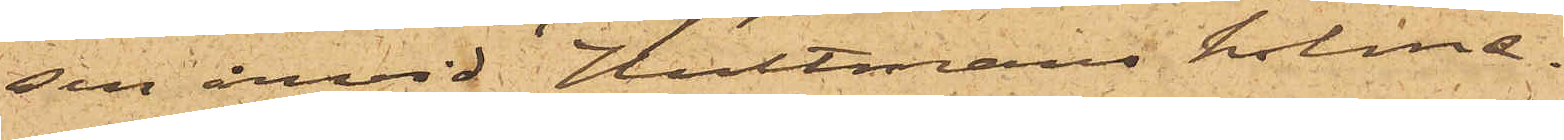sen invid Hultmans holme.
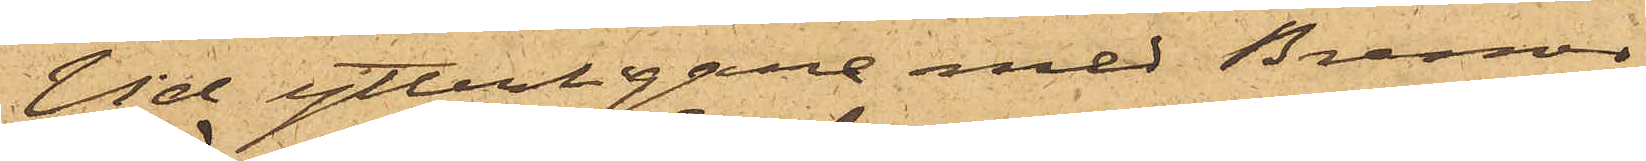Vid ytterligare med Bremer
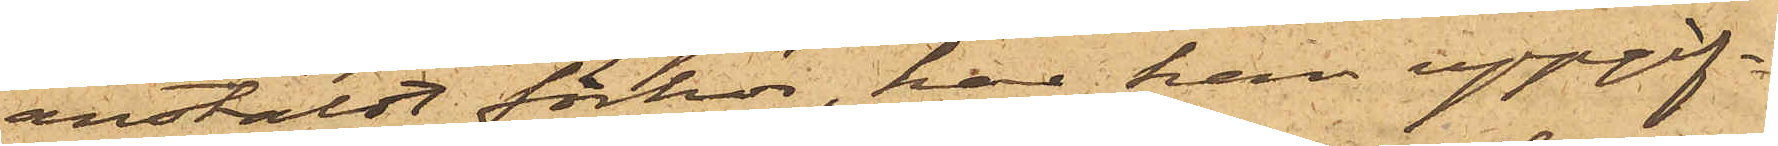anstäldt förhör, har han uppgif¬
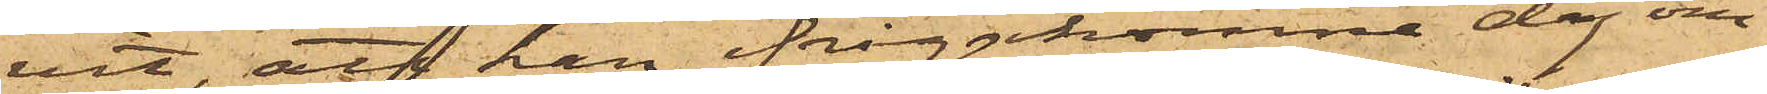vit, att han ifrågakomne dag om¬
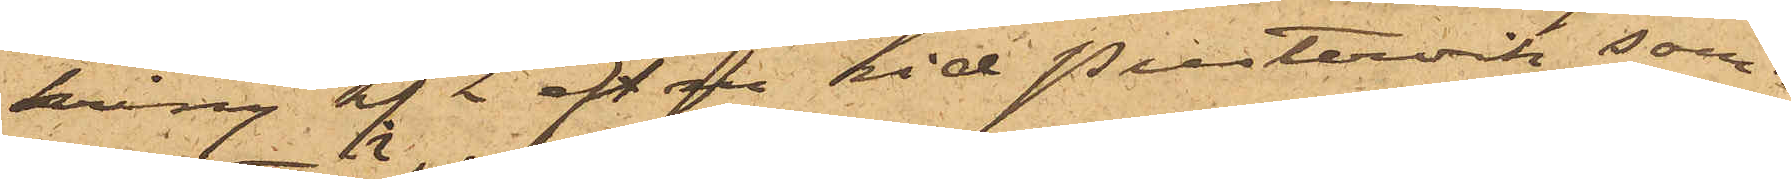kring kl. 2 eft.m. vid Pustervik sam¬
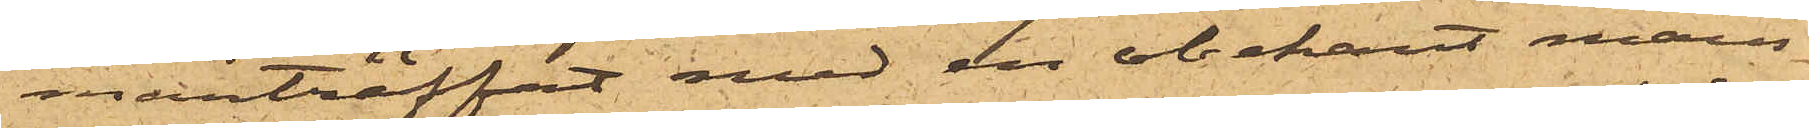manträffat med en obekant mans¬
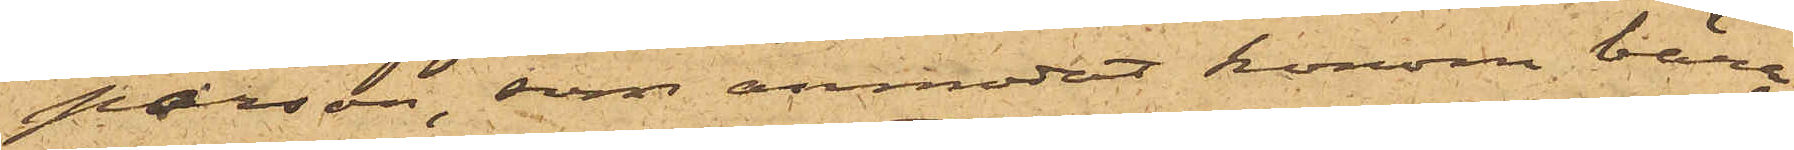person, som anmodat honom bära
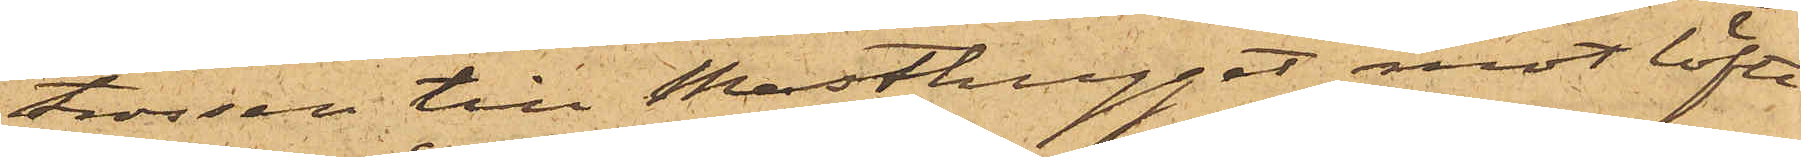trossen till Masthugget mot löfte
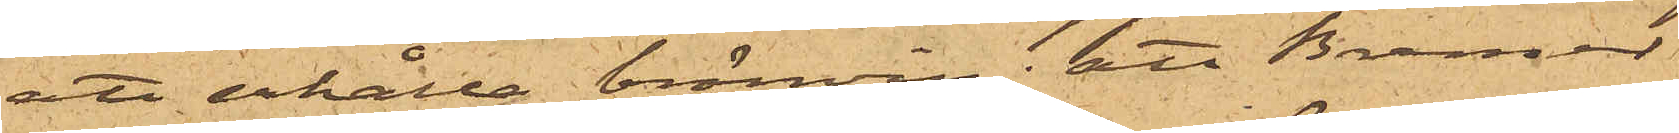att erhålla bränvin; att Bremer
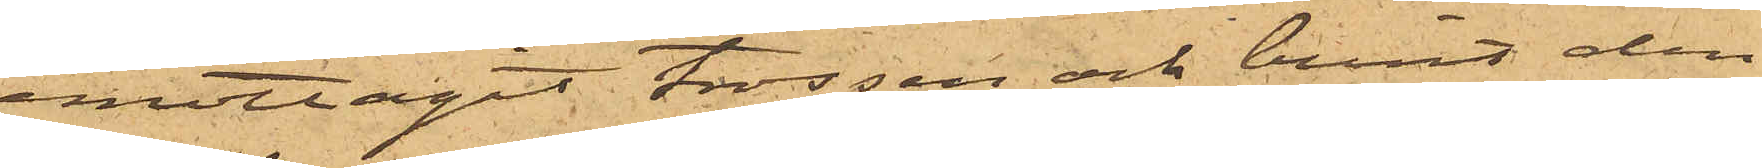emottagit trossen och burit den
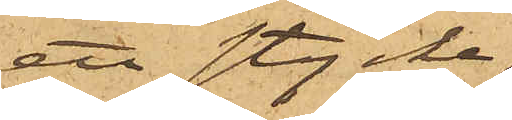ett stycke,
